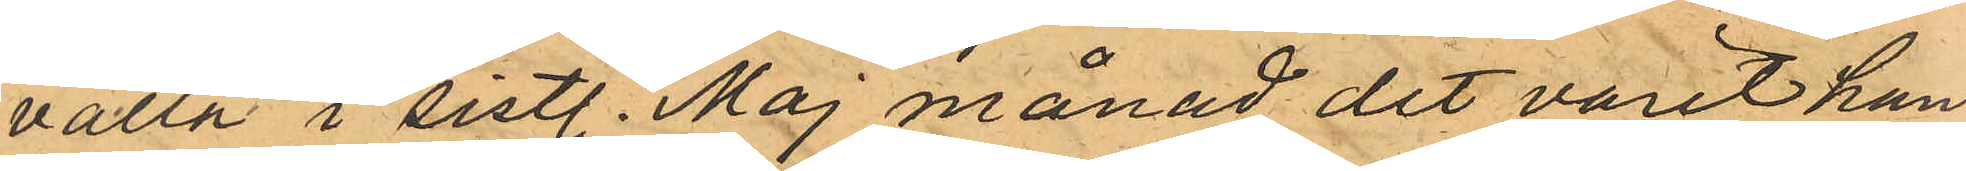valla i sistl. Maj månad det varit han,
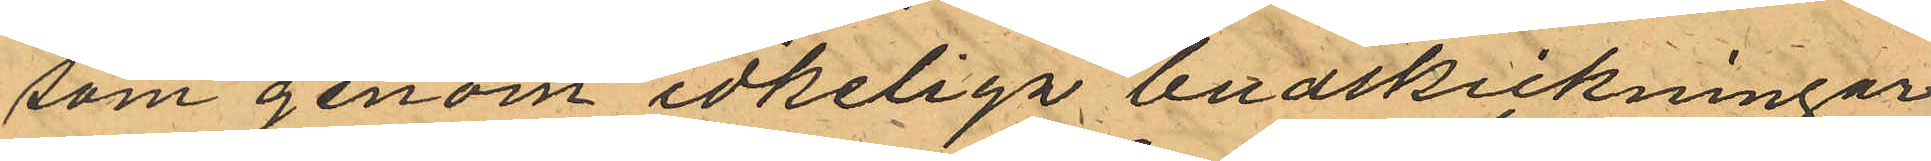som genom idheliga budskickningar
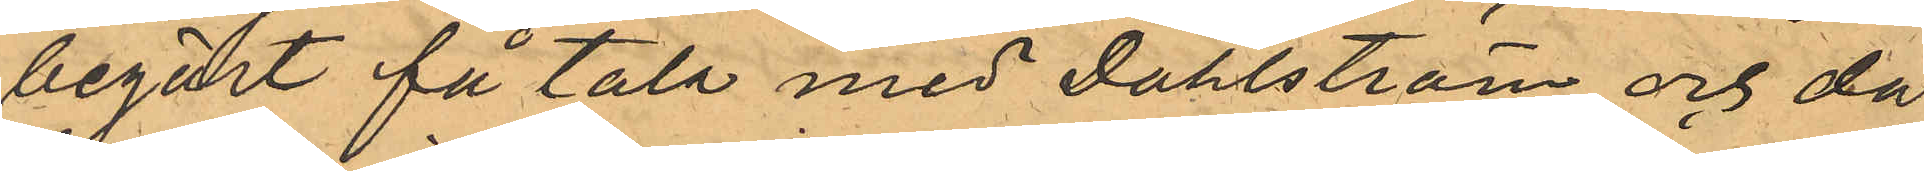begärt få tala med Dahlström och då
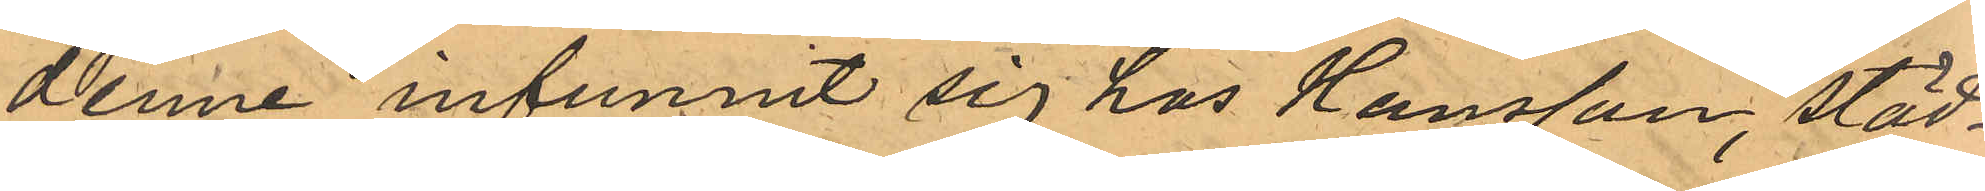denne infunnit sig hos Hansson, städ¬
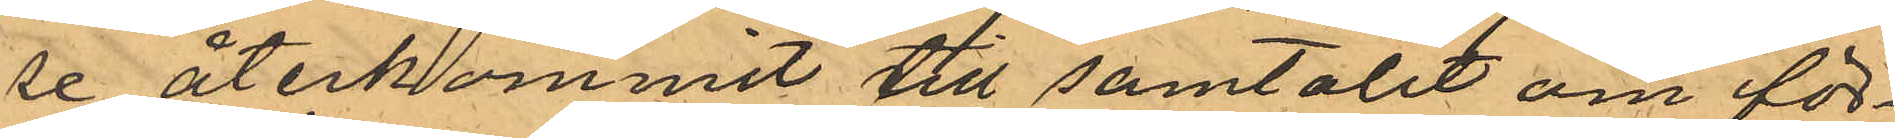se återkommit till samtalet om för¬
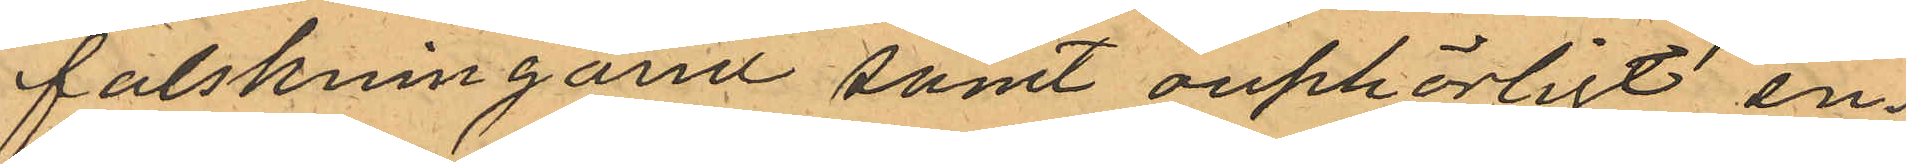falskningarne samt ouphörligt en¬
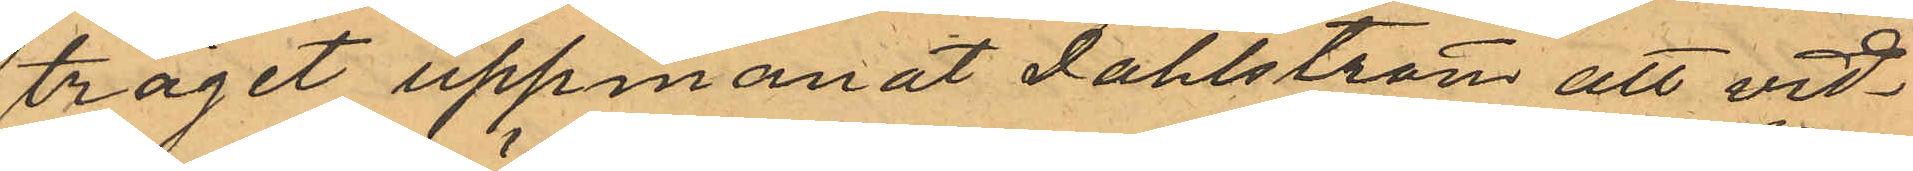träget uppmanat Dahlström att vid¬
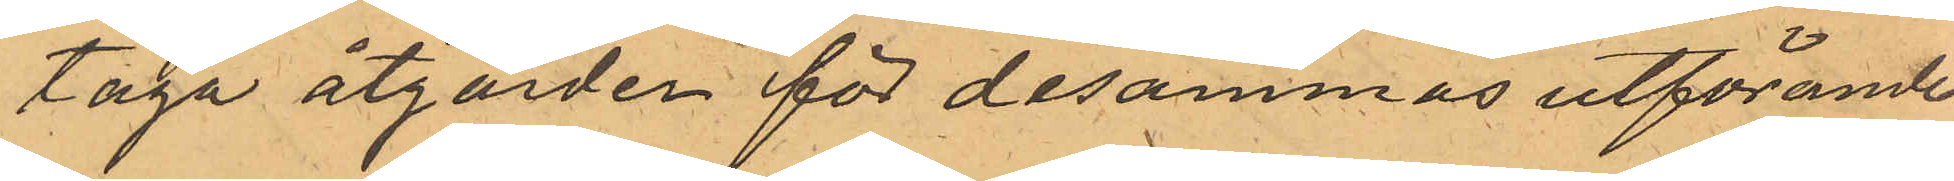taga åtgärder för desammas utförande;
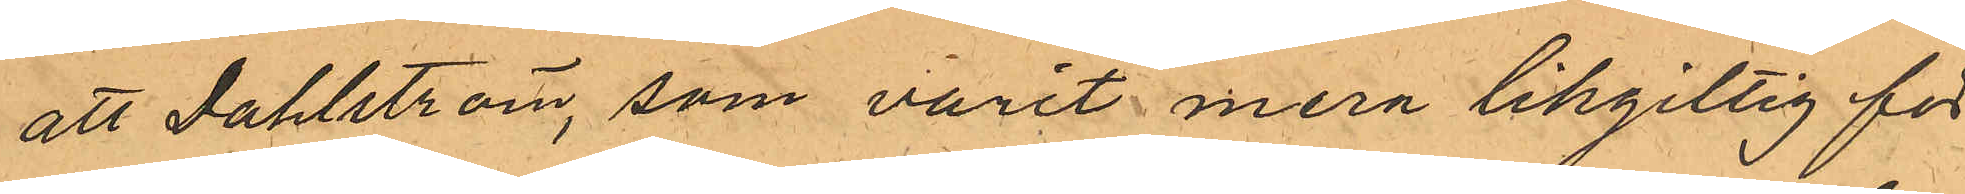att Dahlström, som varit mera likgiltig för
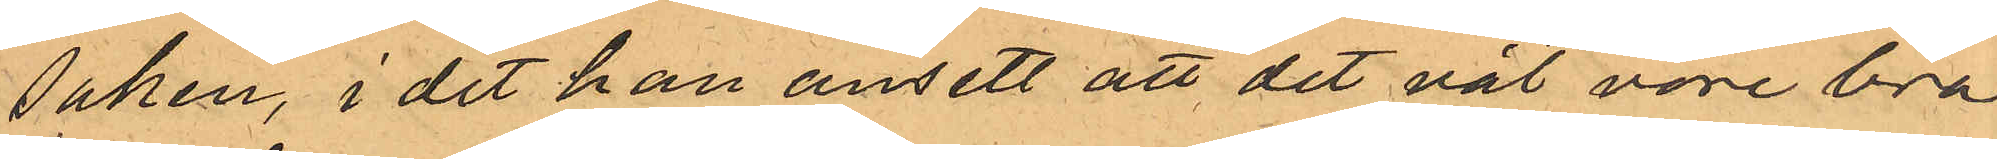saken, i det han ansett att det väl vore bra
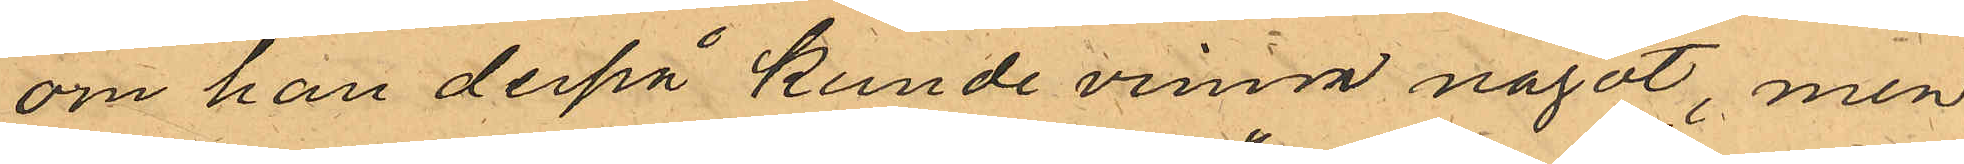om han derpå kunde vinna något, men
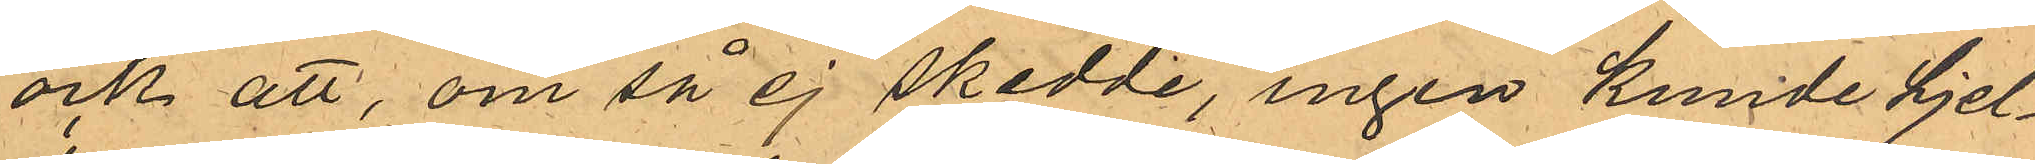ock att, om så ej skedde, "ingen kunde hjel¬
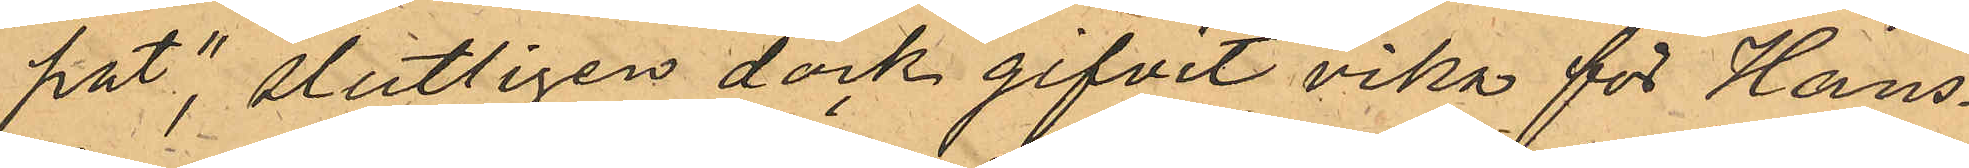pat", slutligen dock gifvit vika för Hans¬
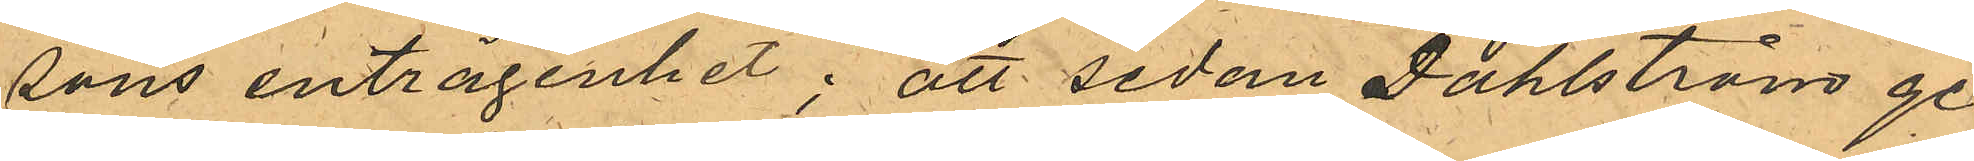sons enträgenhet; att sedan Dahlströms ge¬
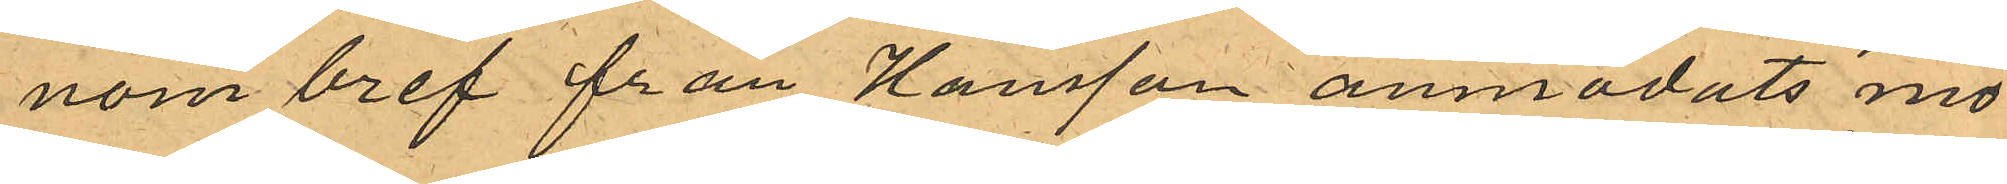nom bref från Hansson anmodats mö¬
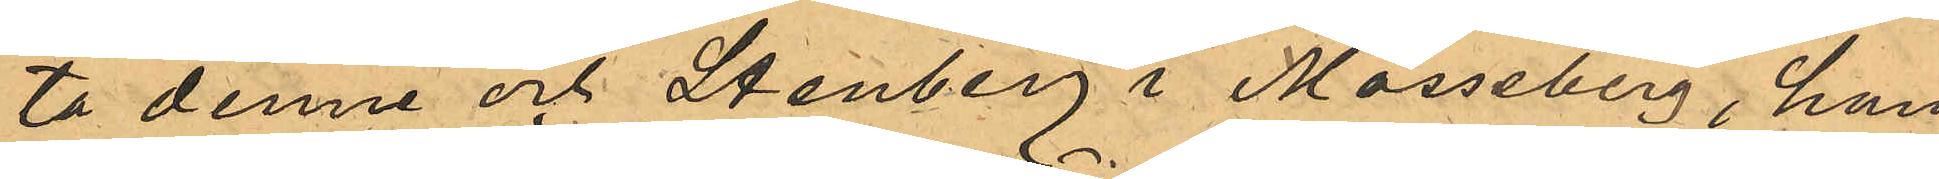ta denne och Stenberg i Mösseberg, han
